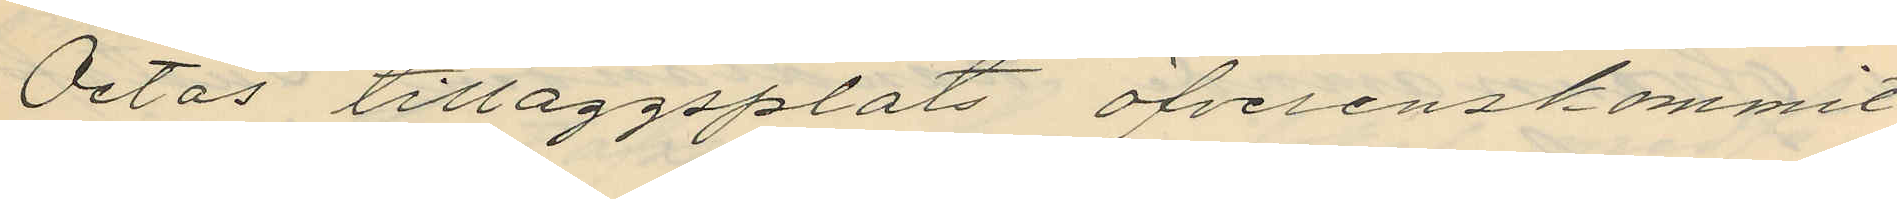Octas tilläggsplats öfverenskommit
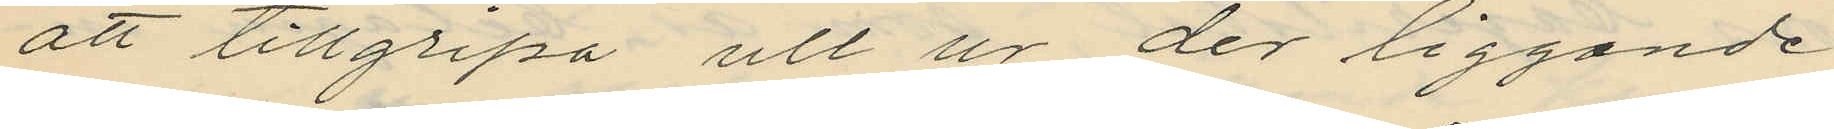att tillgripa ull ur der liggande
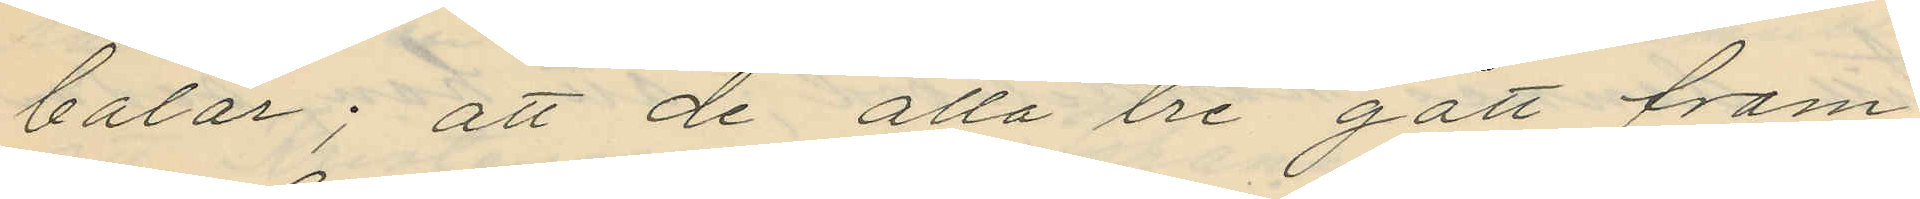balar; att de alla tre gått fram
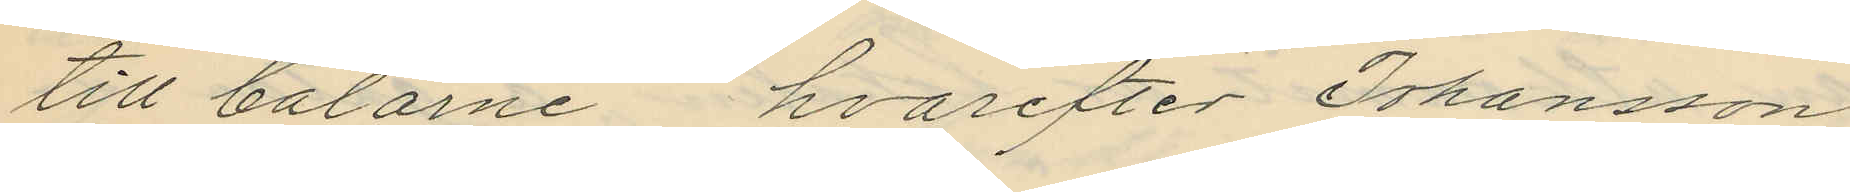till balarne hvarefter Johansson
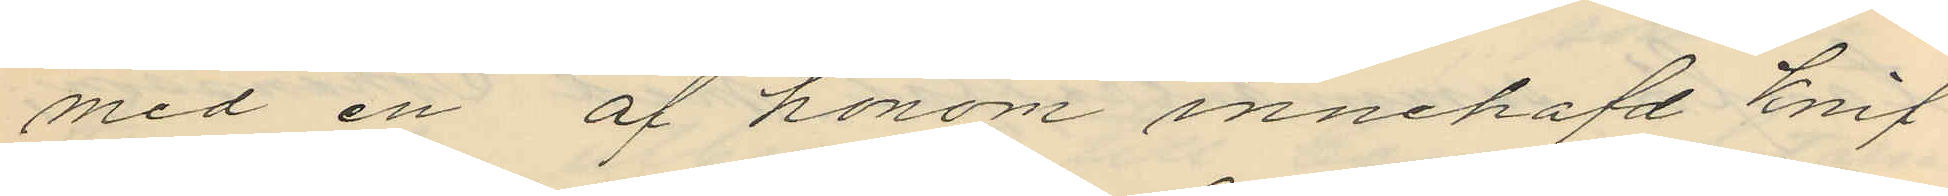med en af honom innehafd knif
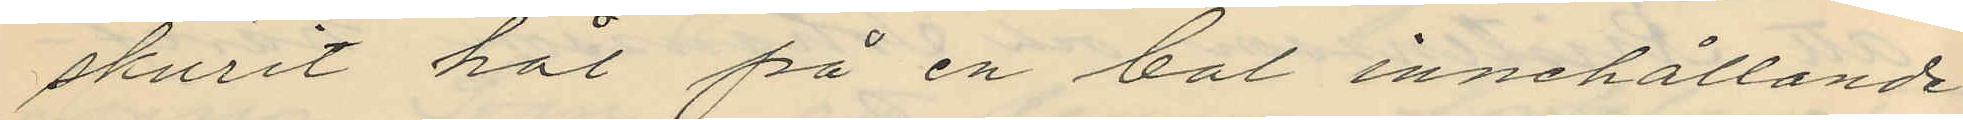skurit hål på en bal innehållande
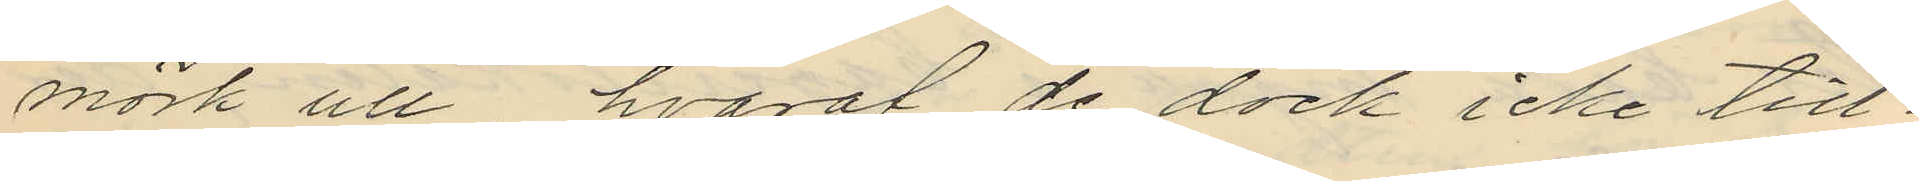mörk ull hvaraf de dock icke till¬
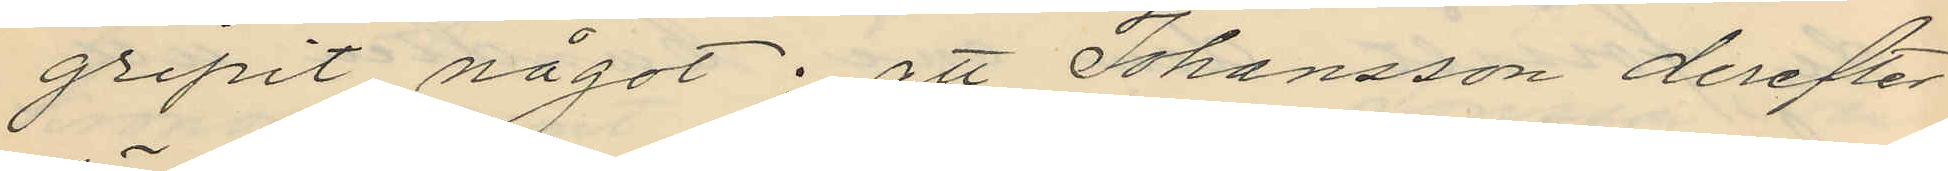gripit något; att Johansson derefter
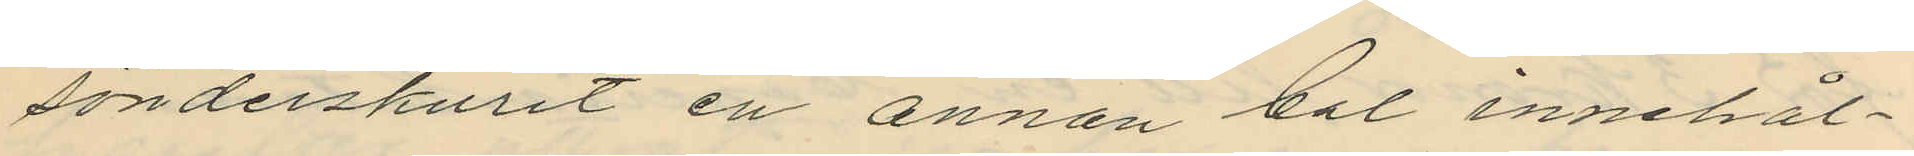sönderskurit en annan bal innehål¬
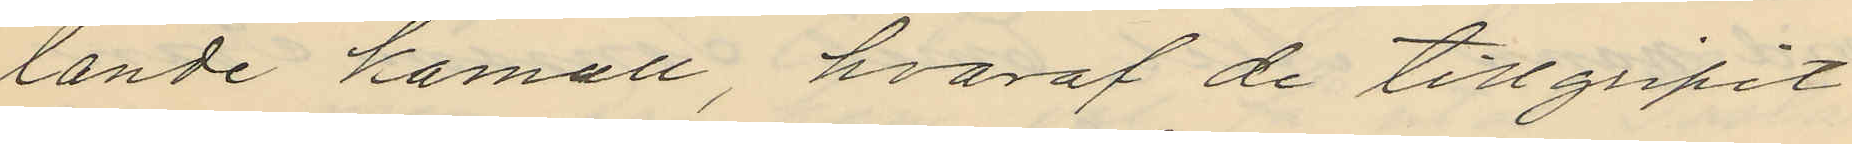lande kamull, hvaraf de tillgripit
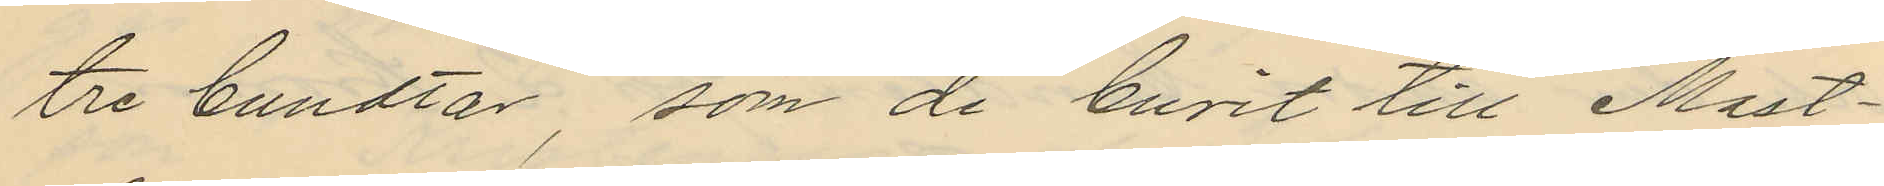tre bundtar, som de burit till Mast¬
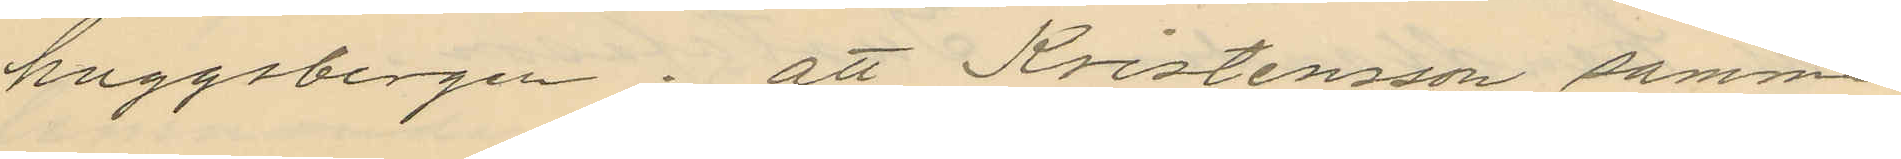huggsbergen; att Kristensson samma
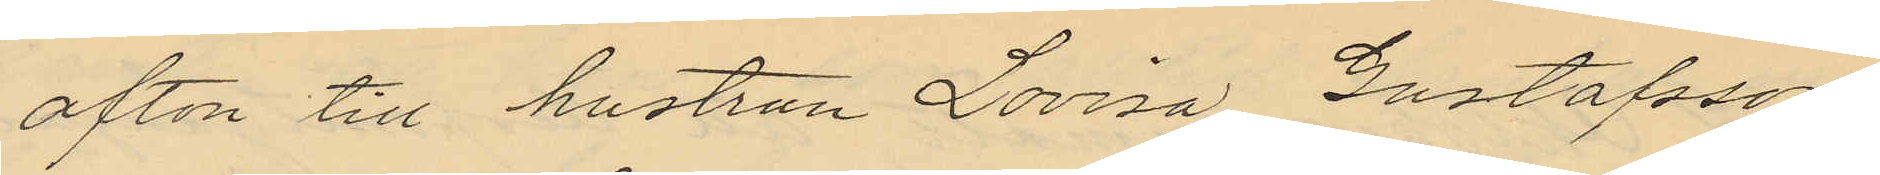afton till hustrun Lovisa Gustafsson
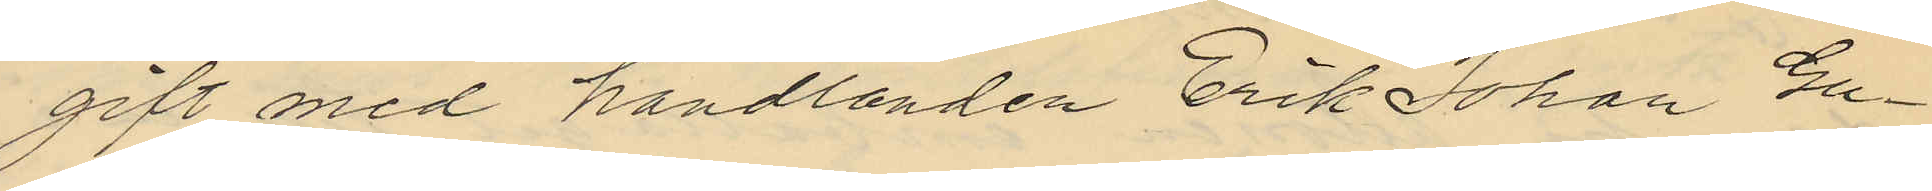gift med handlanden Erik Johan Gu¬
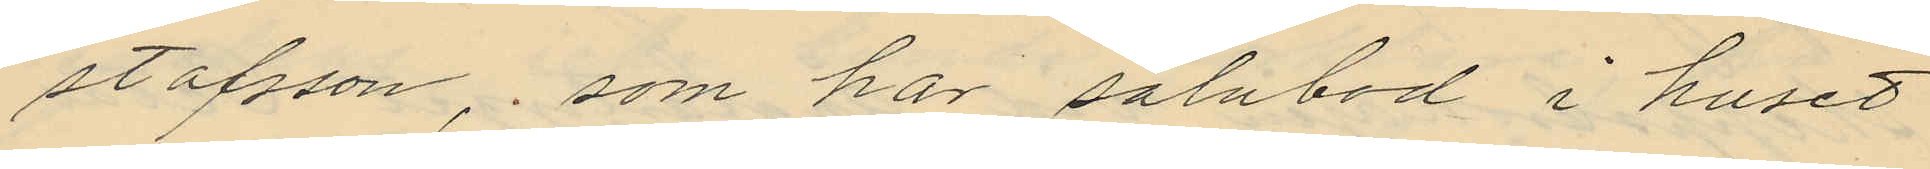stafsson, som har salubod i huset
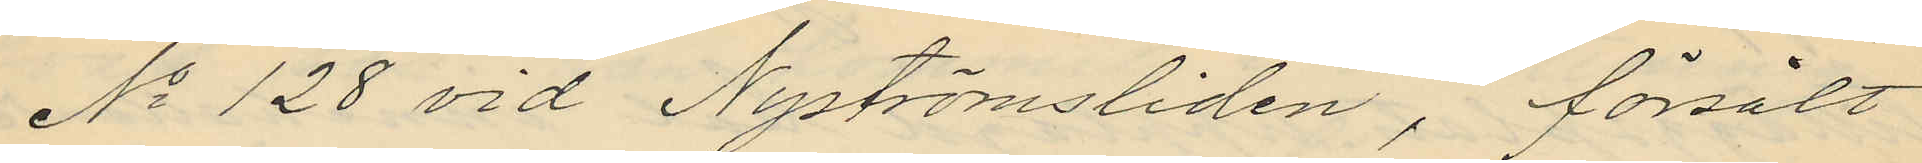No 128 vid Nyströmsliden, försålt
